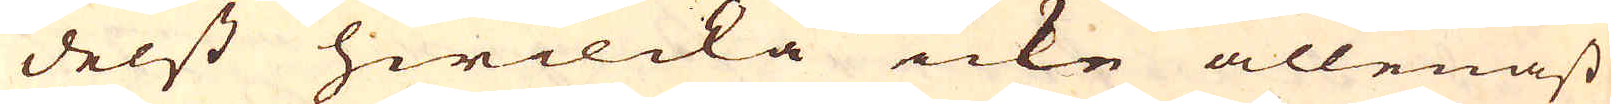delst hwilcka icke allenast
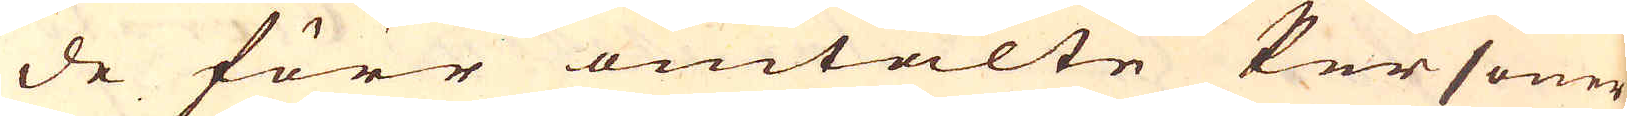de förr omtalte Personer
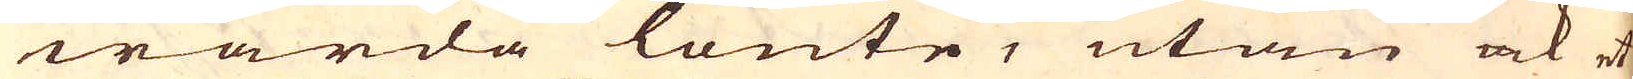warda lönte, utan ock et
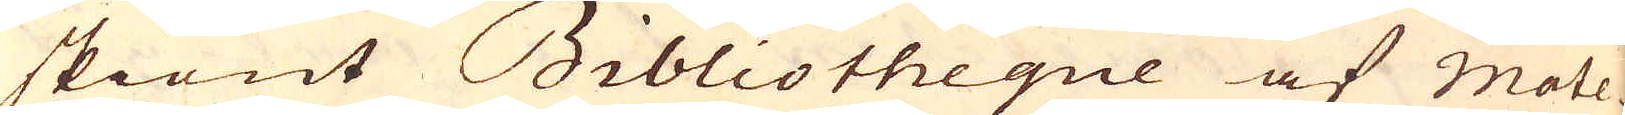skiönt Bibliotheque af Mate-
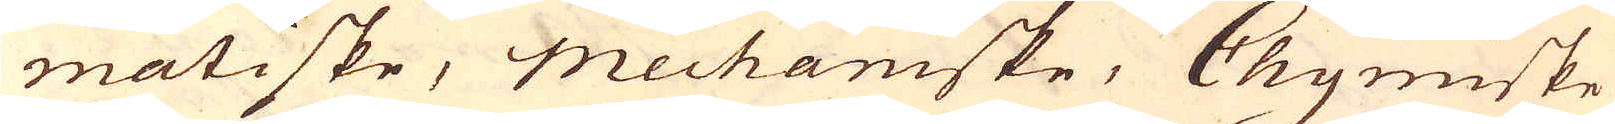matiske, Mechaniske, Chymiske
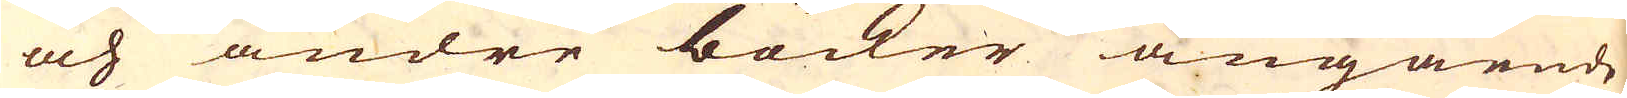och andre böcker angående
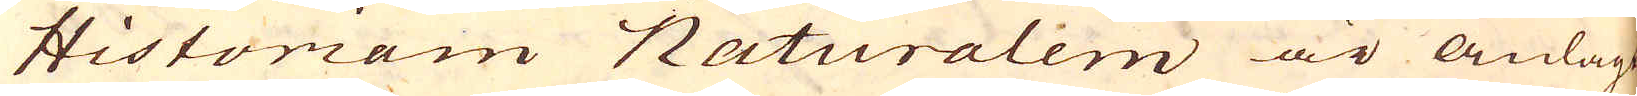Historiam Naturalem är anlagt,
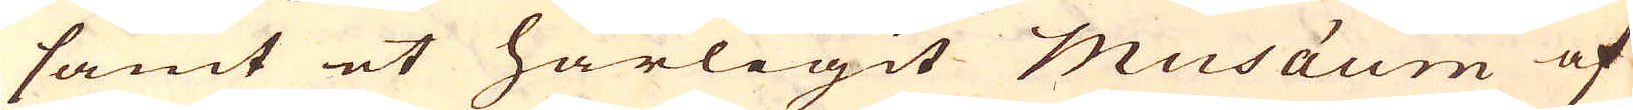samt et härligit musäum af
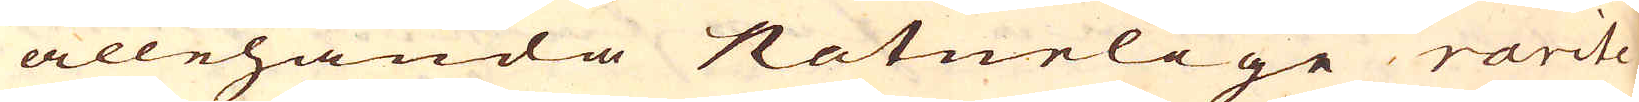allehanda Naturlige rarite-
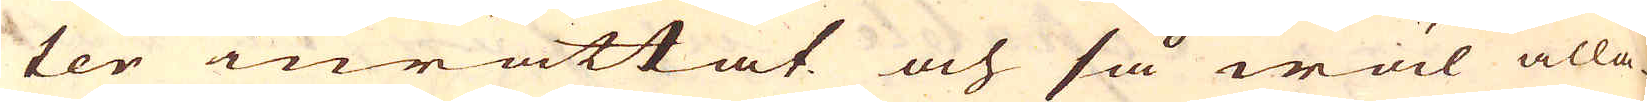ter inrättat och så wäl alla-
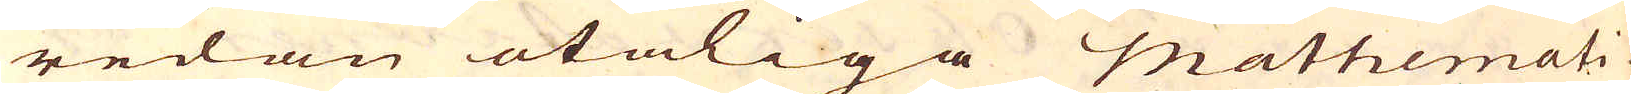redan otaliga Mathemati-
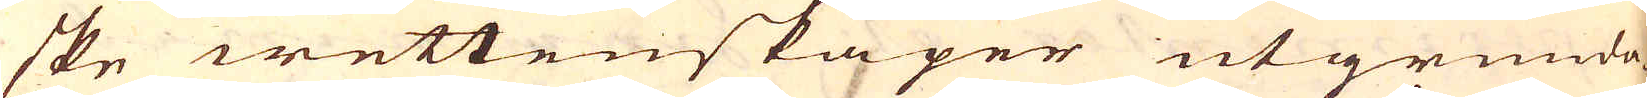ske wettenskaper utgrunda-
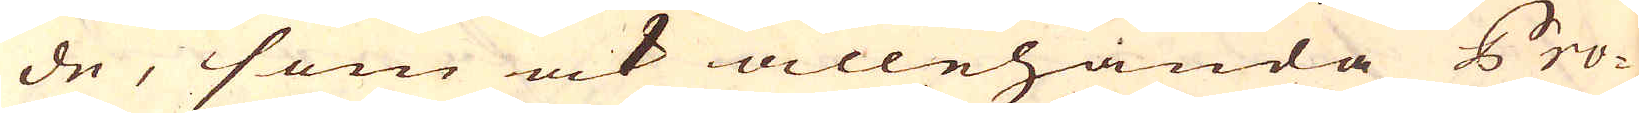de, som ock allehanda Pro-
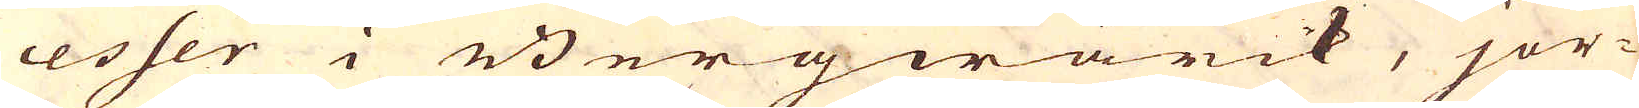cesser i Bergwärck, jor-
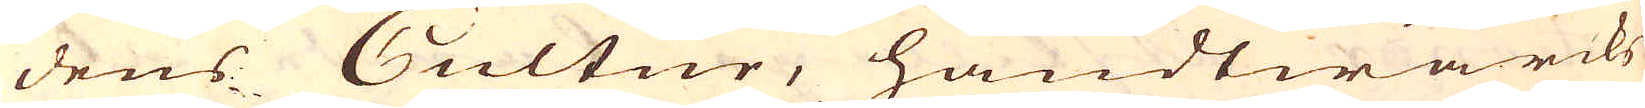dens Cultur, handtwärcks
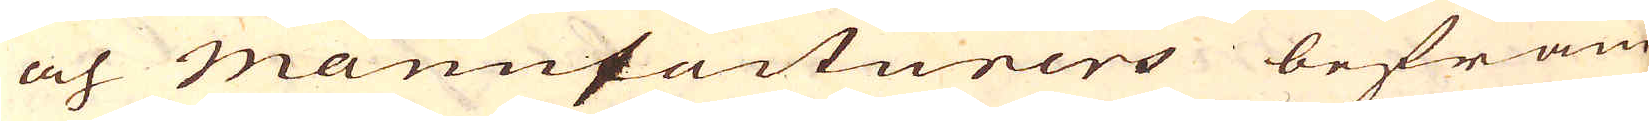och Manufacturers befräm-
